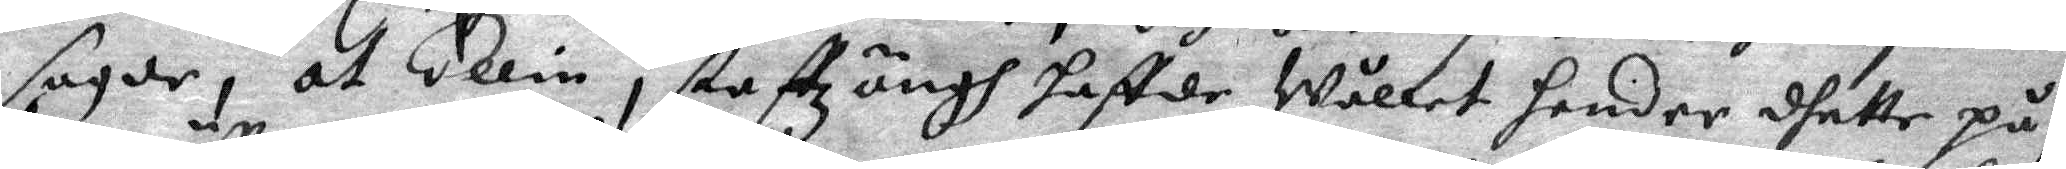sagde, at Ellin i staffzängh haffde Wållet hender dhette på,
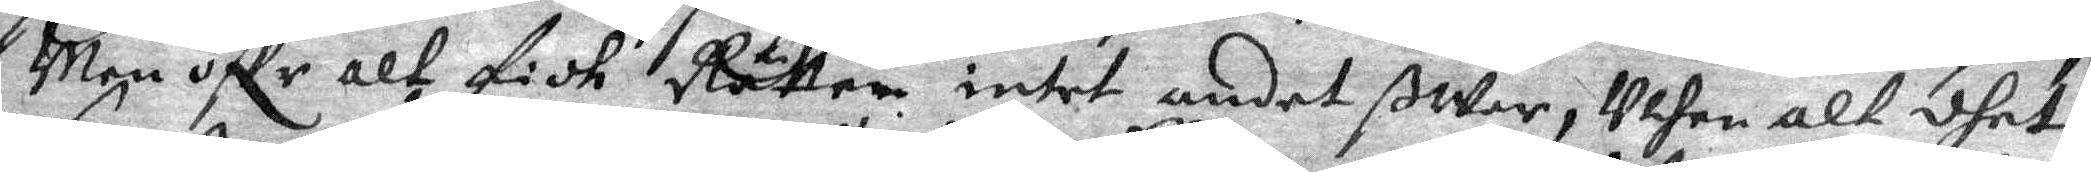Men öffr alt fidh Rätten intet andet ßar, Uthan alt dhet
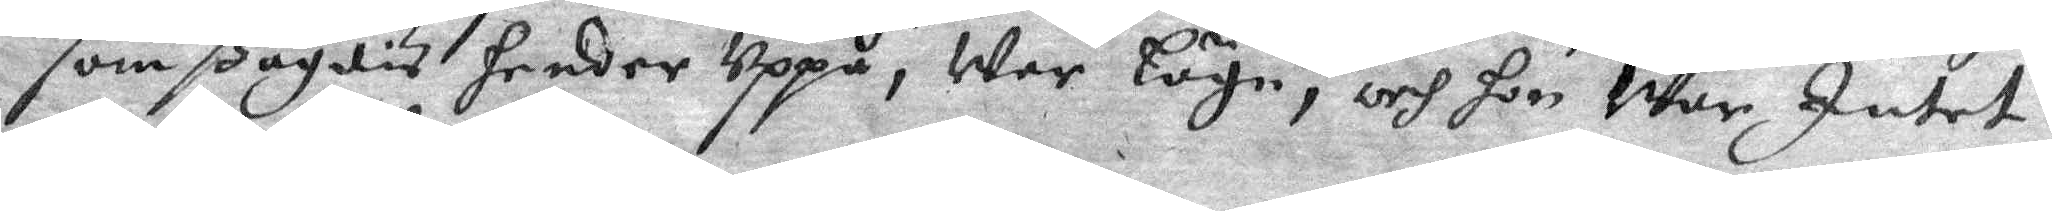som ßagdis hender Uppå, War Lögn, och hon War Intet
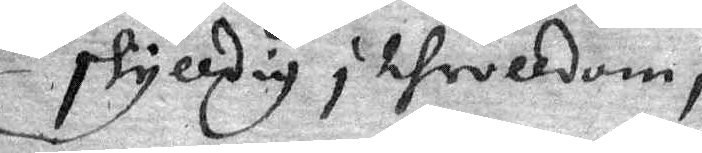skyldig i throlldom, 
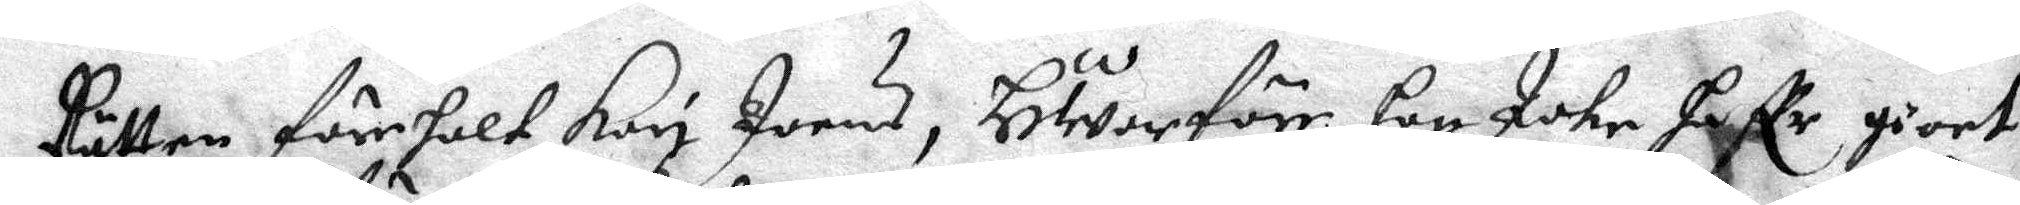Rätten föreholt Kari Joens, HWarföre hon Icke haffr giort
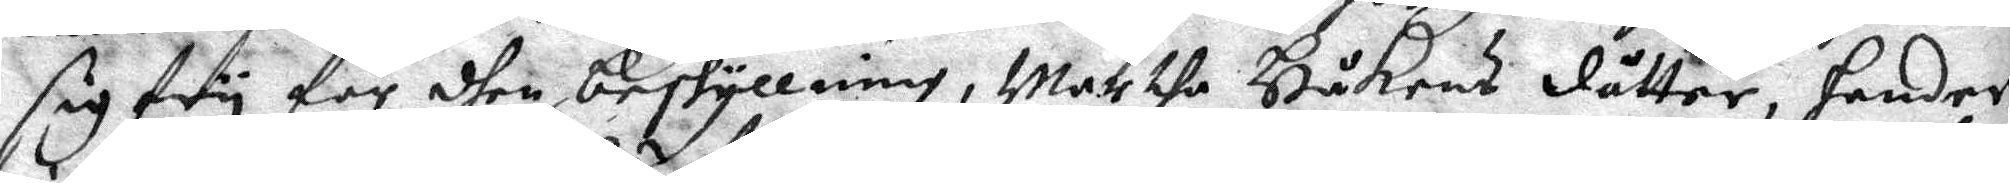sig fry för dhen beskyllning, War the Håkans dåtter, hander
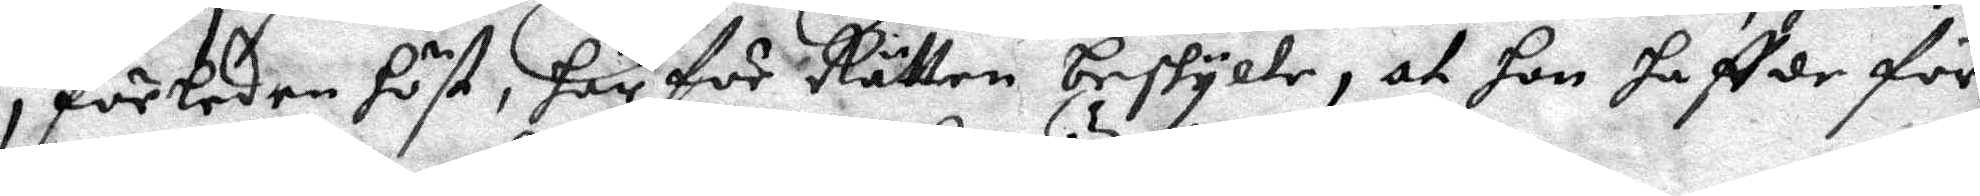i förleden höst, här för Rätten beskylte, at hon haffde för¬
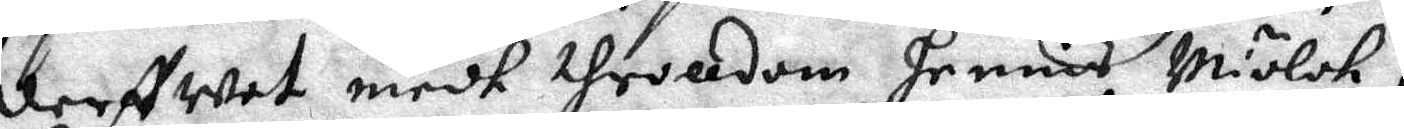derffwat medh throlldom hennis Miölk,
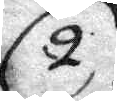2. för det andret, at Börthe Bryrtis och samme thydh beskylte
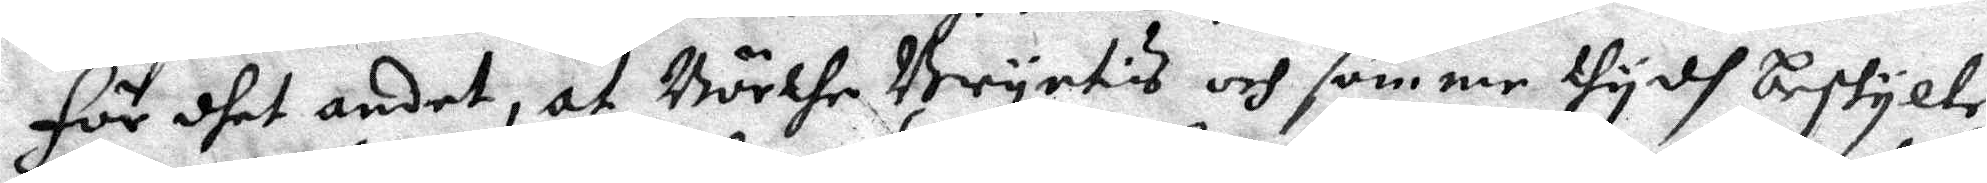2. för det andret, at Börthe Bryrtis och samme thydh beskylte
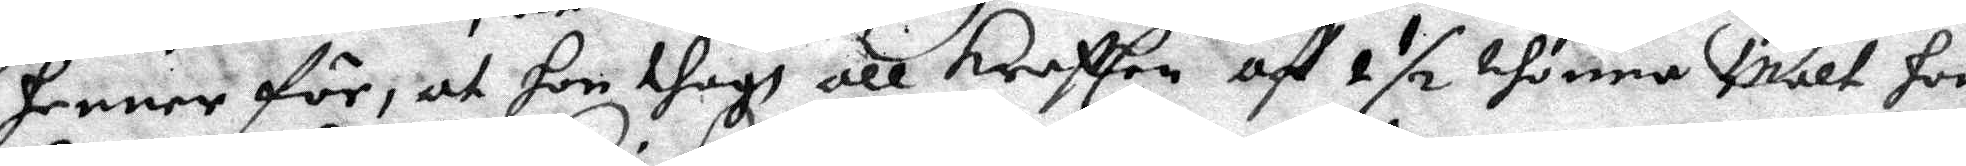henne för, at hon thogh all kraften aff 2½ thonna Malt hon
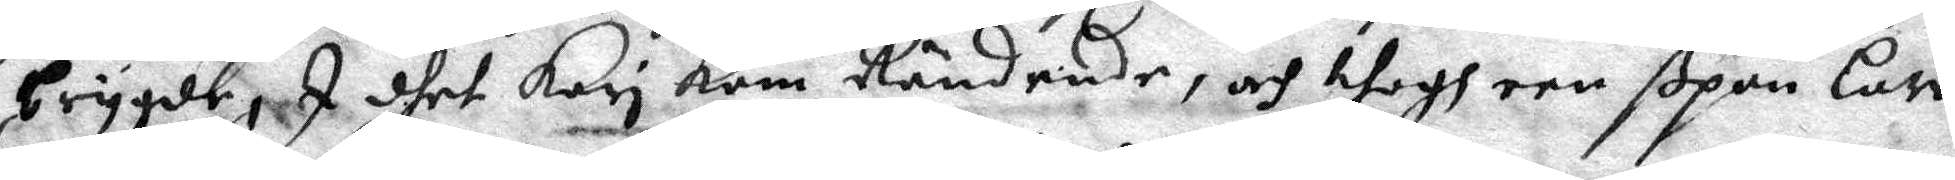brygde, I dhet Kari kom Rändende, och thogh een ßpan Law
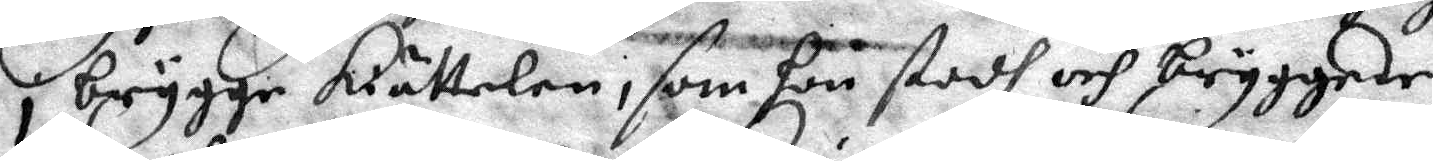i brygge kiättelen, som hon stodh och beyggede,
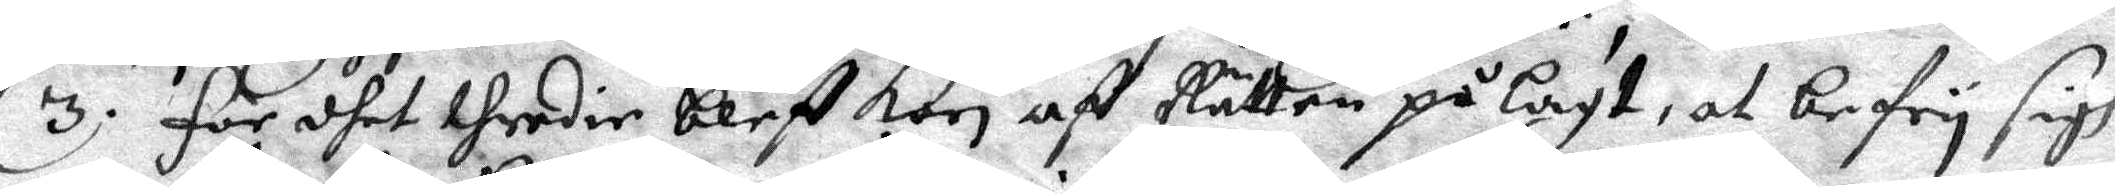3. för dhet thredie bleff Kari af Rätten på Lagt, at befry sigh
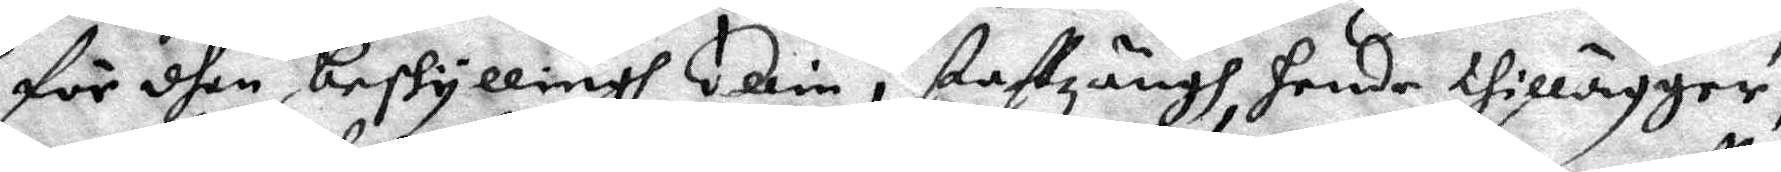för dhen beskyllningh Ellin i Staffzängh hende thillryger,
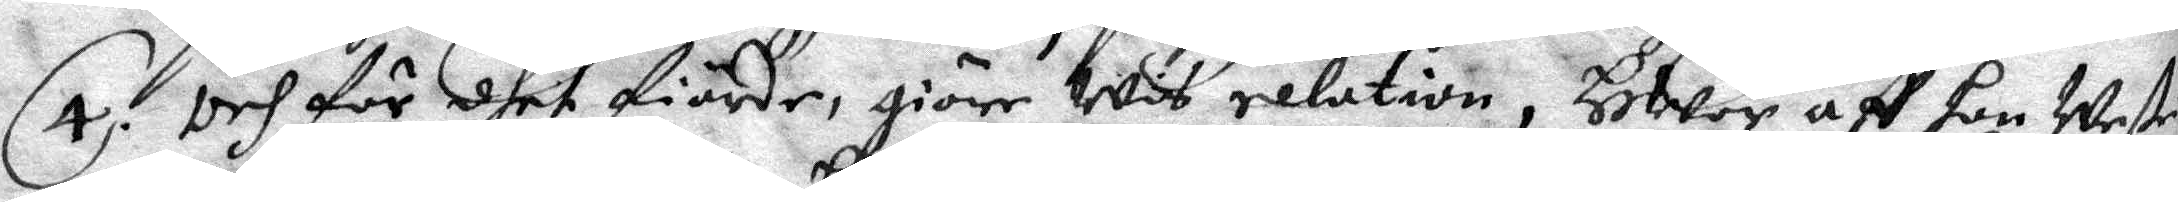4. Och för dhet fierde, giöre Wis relution, HWar aff hon Wete
